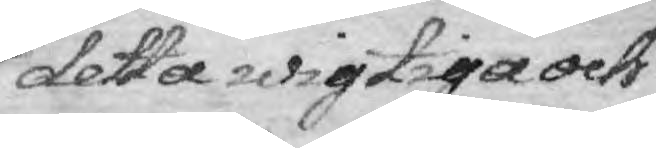detta wigtiga och
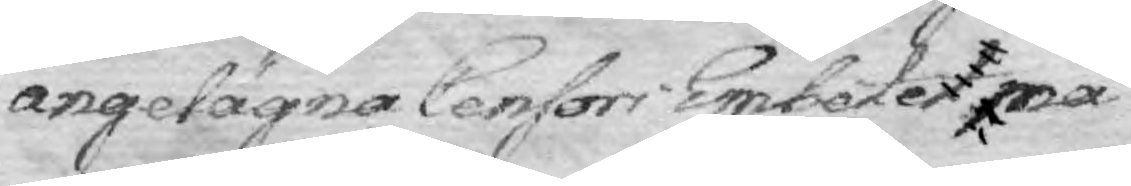angelägna Censori Embetet må
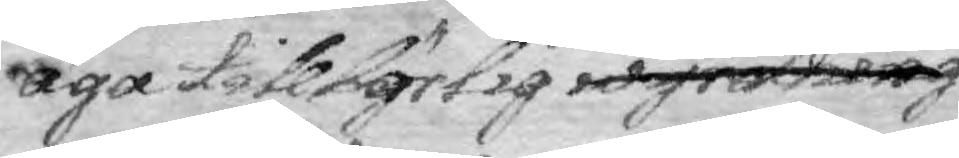äga tillbörlig wyndning
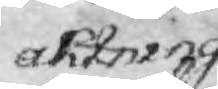aktning
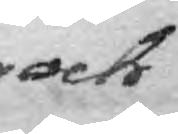och
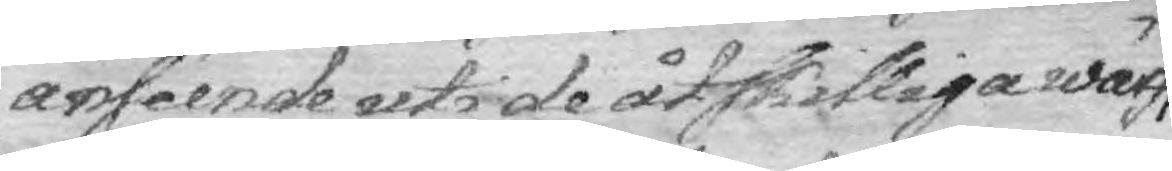andéende uti de åtskulliga wärf,
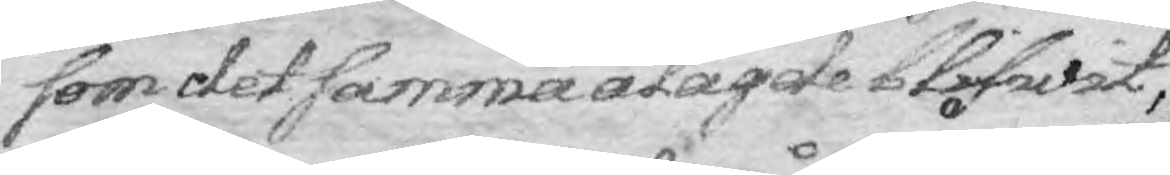som det samma ålade blifwit,
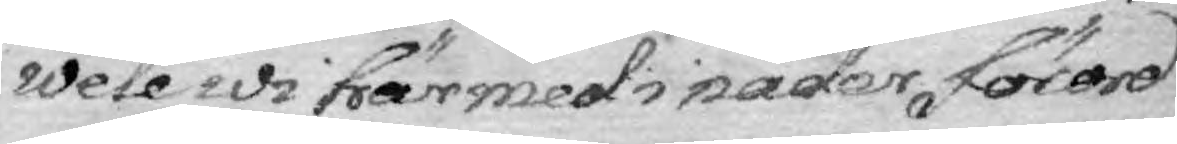wele wi härmed i nåder förord¬
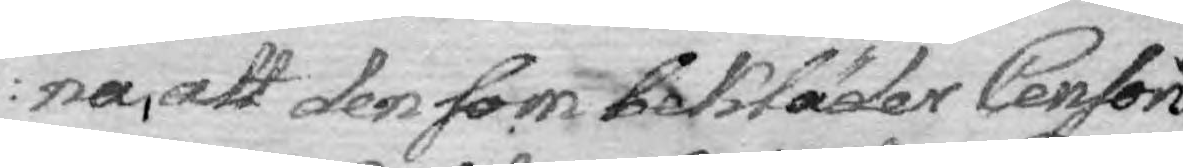na, att den som bekläder Censoris
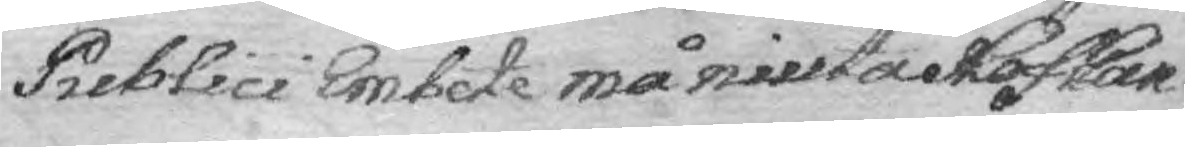Publici Emtete må niuta Hof Can¬
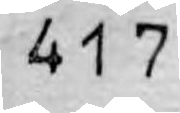417
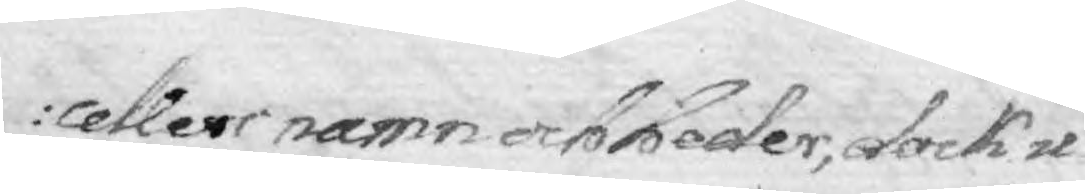cellers namn och heder, dock u¬
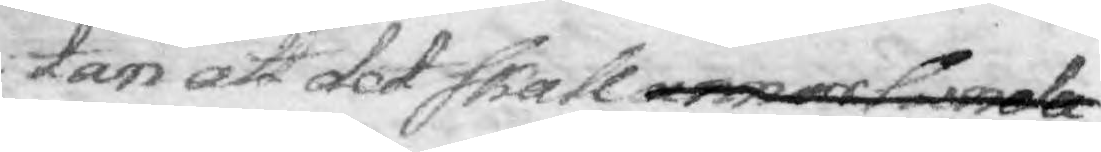tan att det skall annorlunda
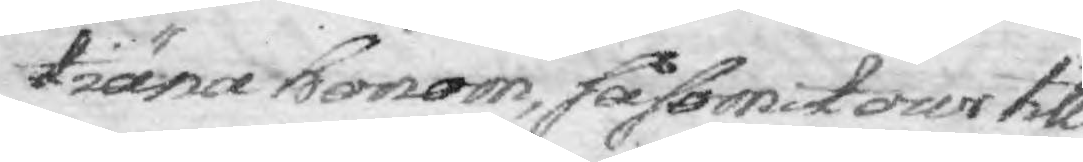tiäna honom, såsom i tour till
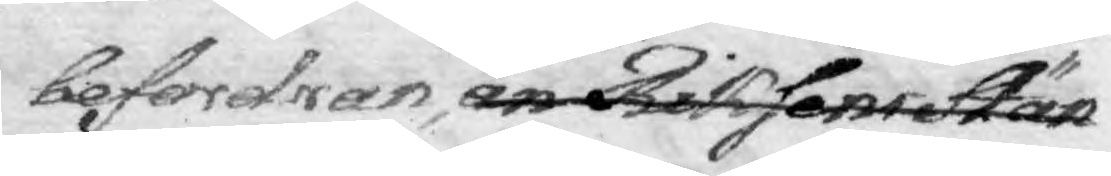befordran, än Riksens Stän¬
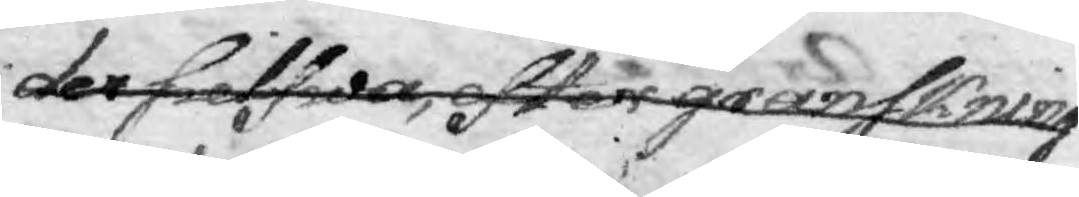det sielfwa, efter granskning
